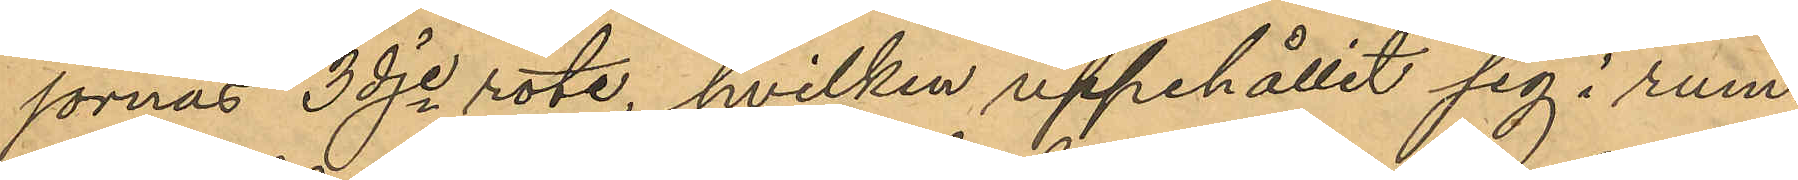jornas 3dje rote, hvilken uppehållit sig i rum¬
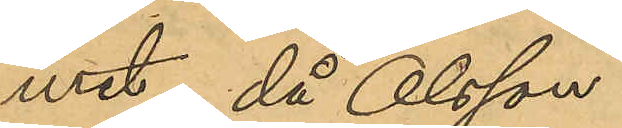met, då Olsson
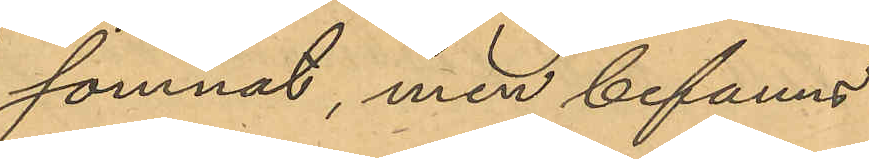somnat, men befanns
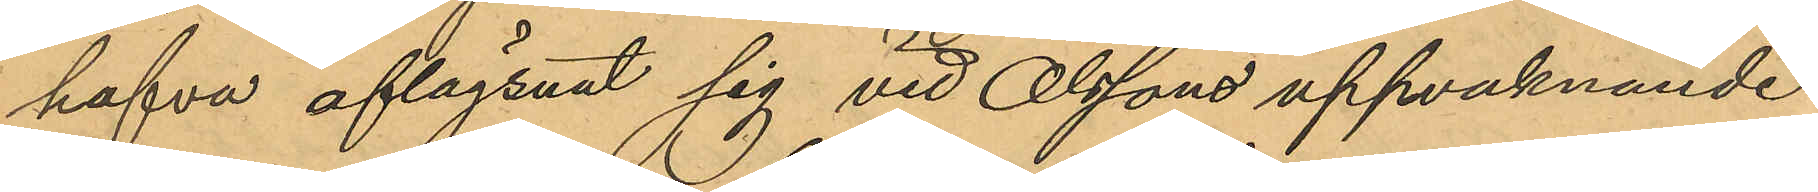hafva aflägsnat sig vid Olssons uppvaknande
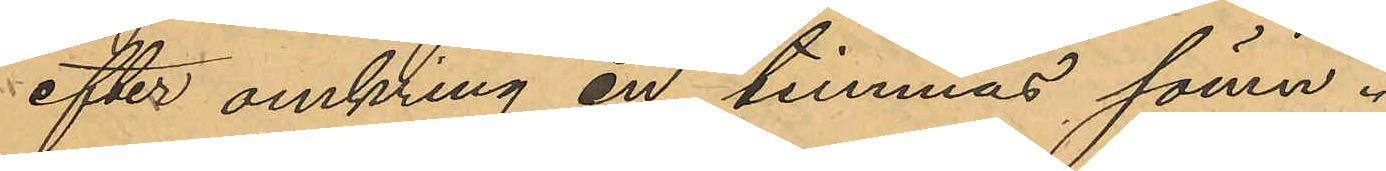efter omkring en timmas sömn.
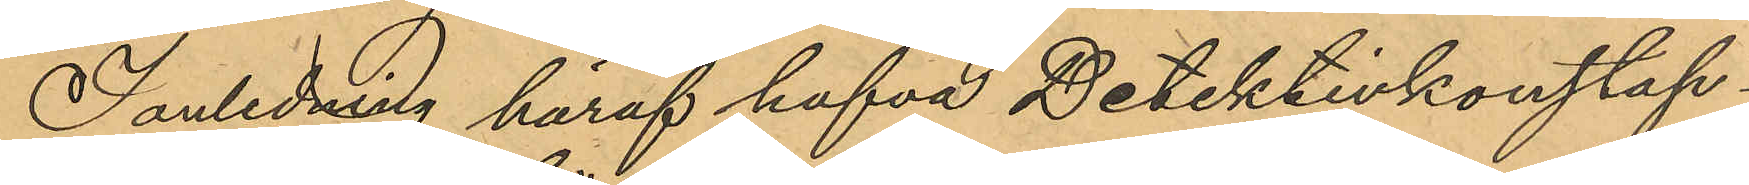I anledning häraf hafva Detektivkonstap¬
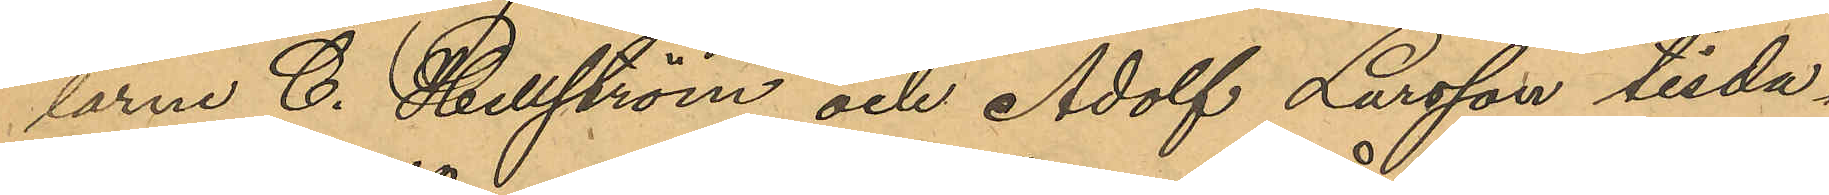larne C. Hellström och Adolf Larsson tisda¬
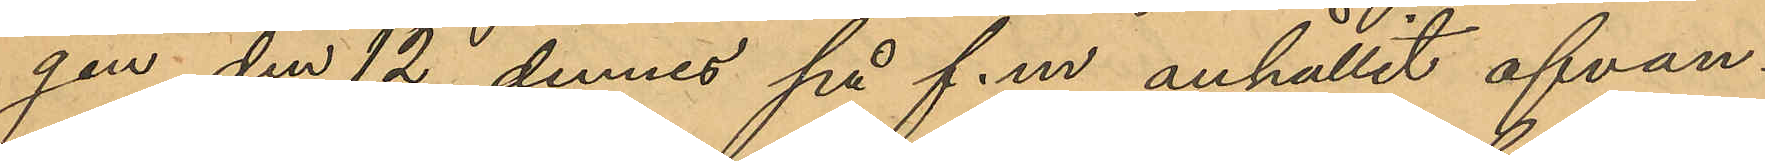gen den 12 dennes på f.m. anhållit ofvan¬
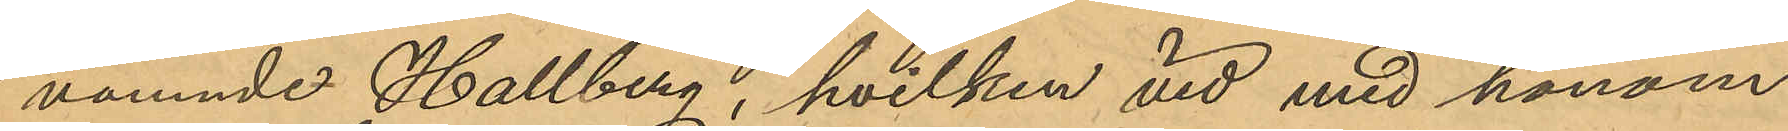nämnde Hallberg, hvilken vid med honom
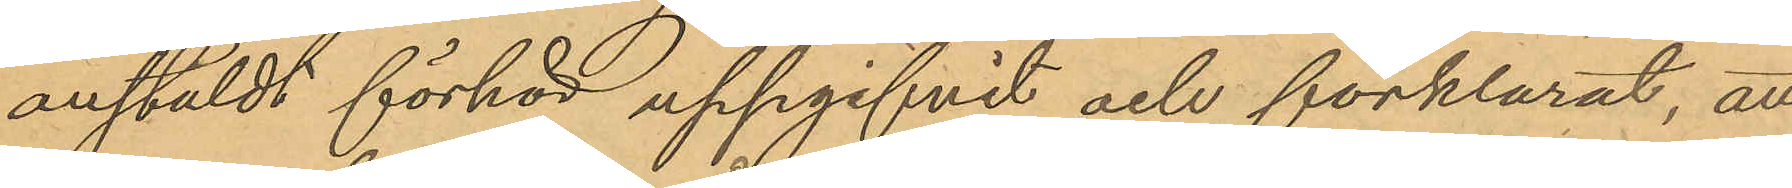anstäldt förhör uppgifvit och förklarat, att
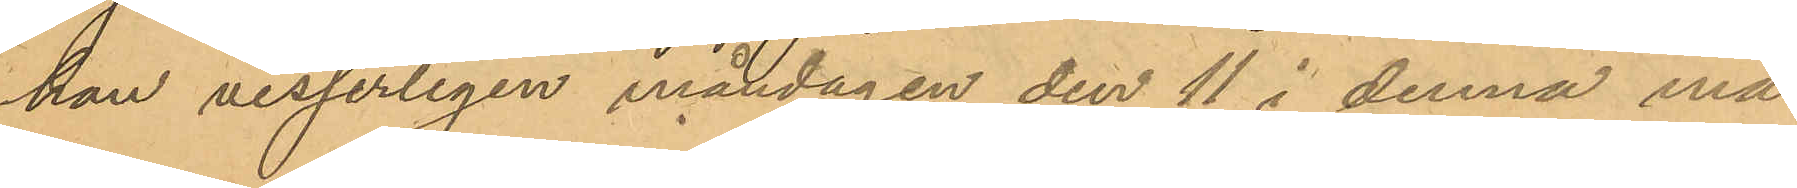han visserligen måndagen den 11 i denna må¬
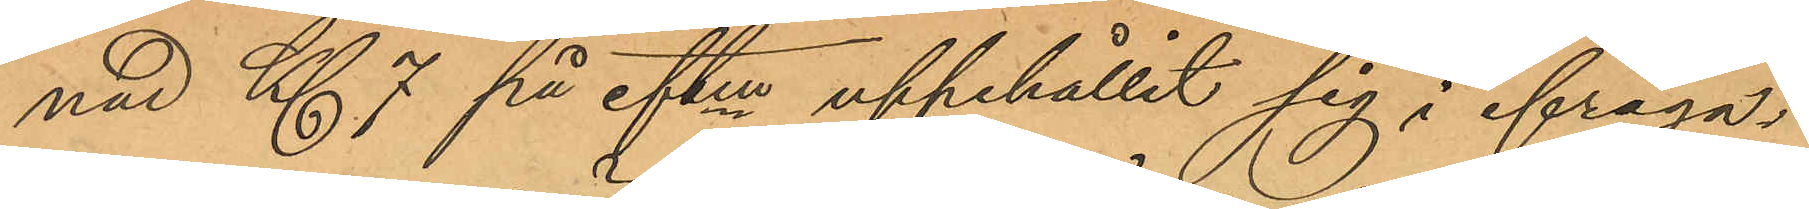nad Kl 7 på eftm uppehållit sig i ifråga¬
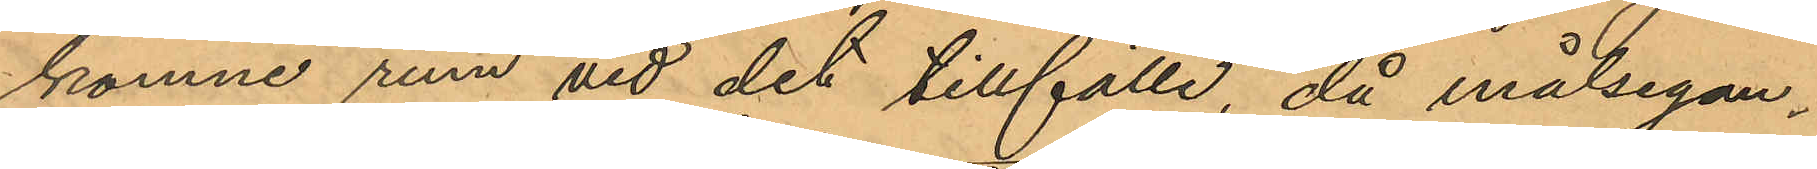komne rum vid det tillfälle, då målsegan¬
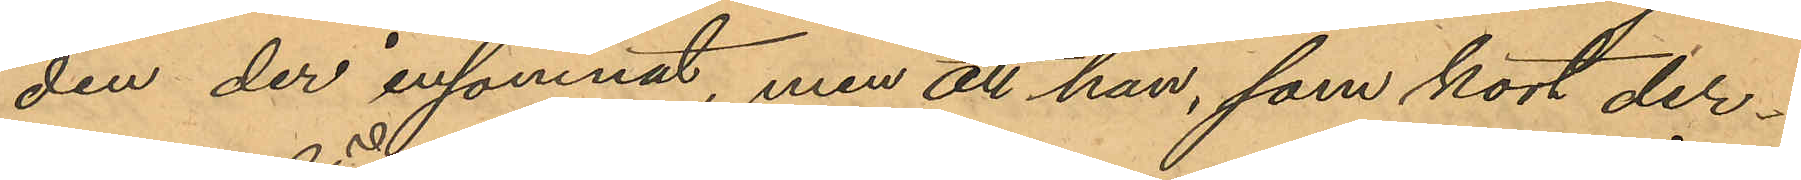den der insomnat, men att han, som kort der¬
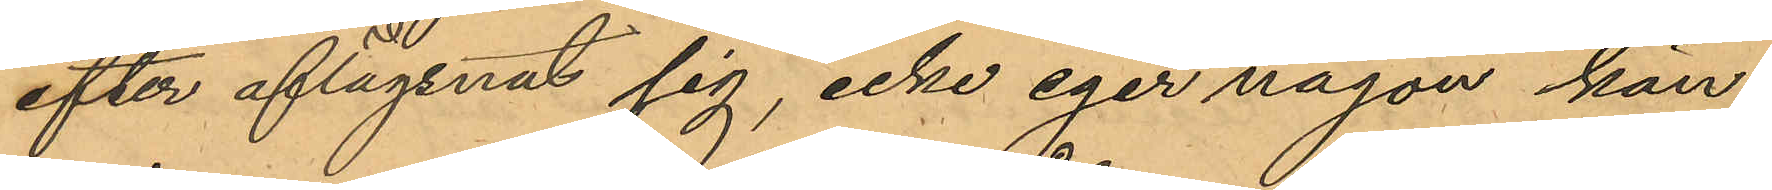efter aflägsnat sig, icke eger någon kän¬
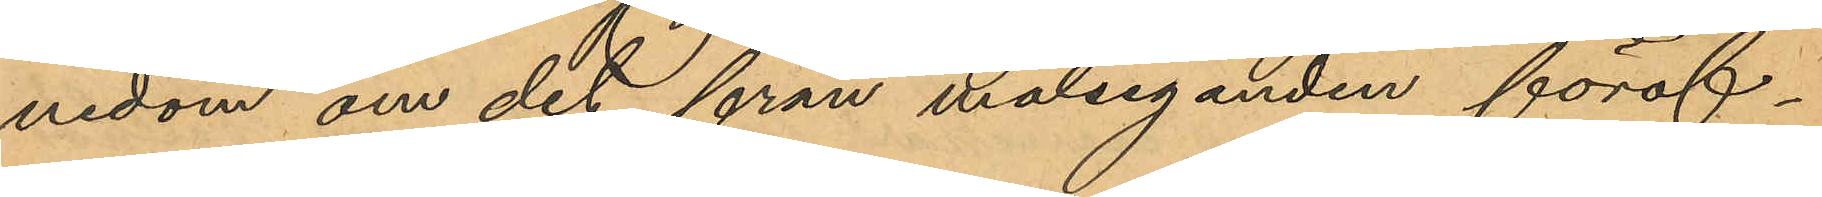nedom om det från målseganden föröf¬
